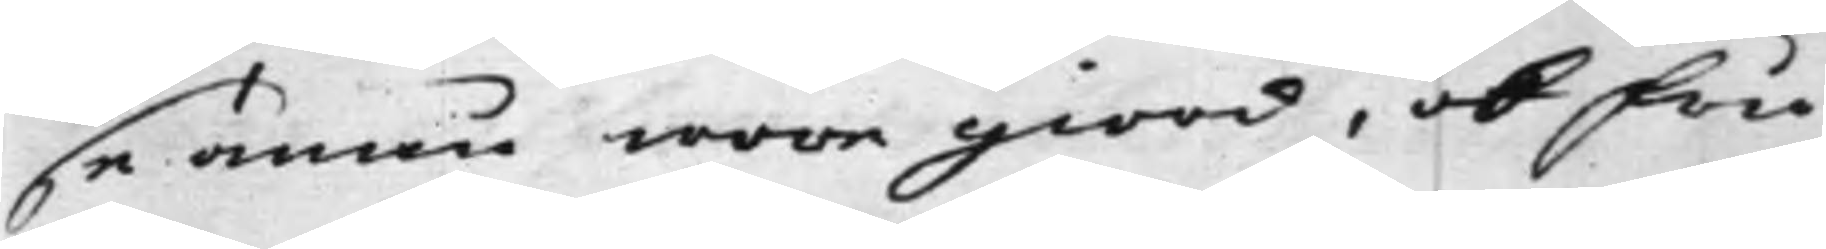se ännu wore giord, ok Fru
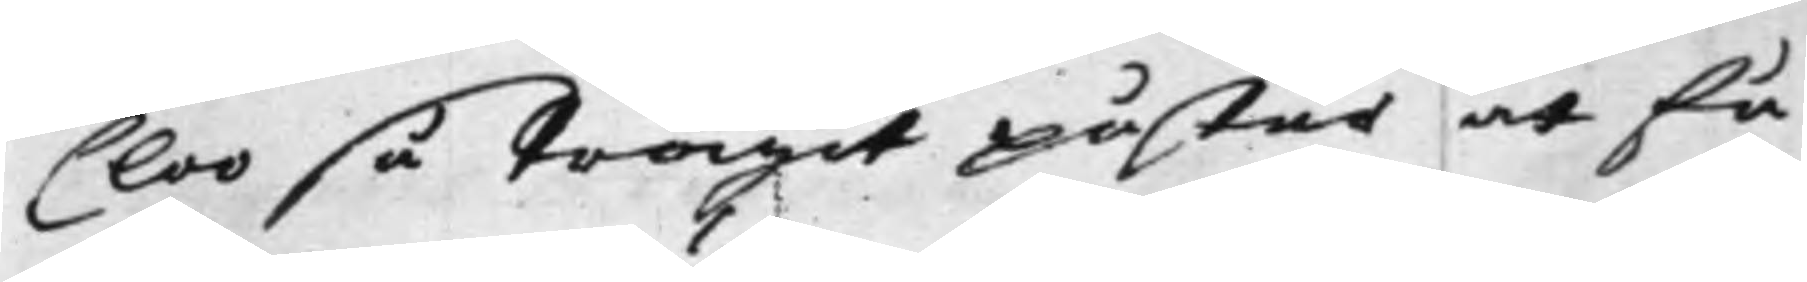Cloo så trägit påstår at få
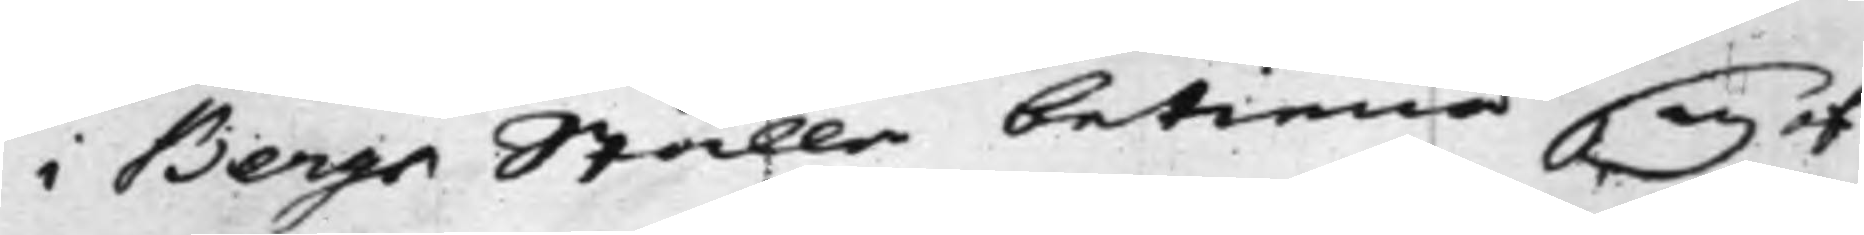i Bergs Ställe betiena sig af
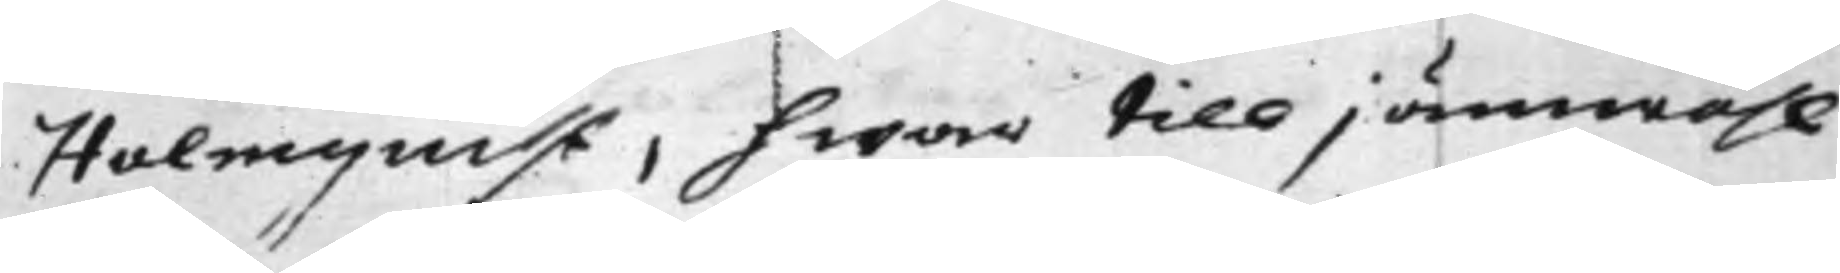Holmquist, hwar till jämwähl
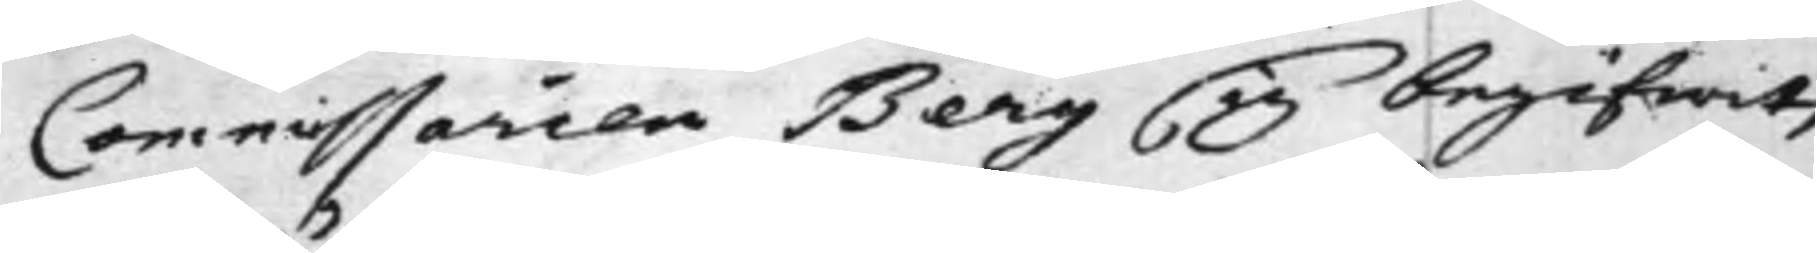Commissaren Berg sig begifwit,
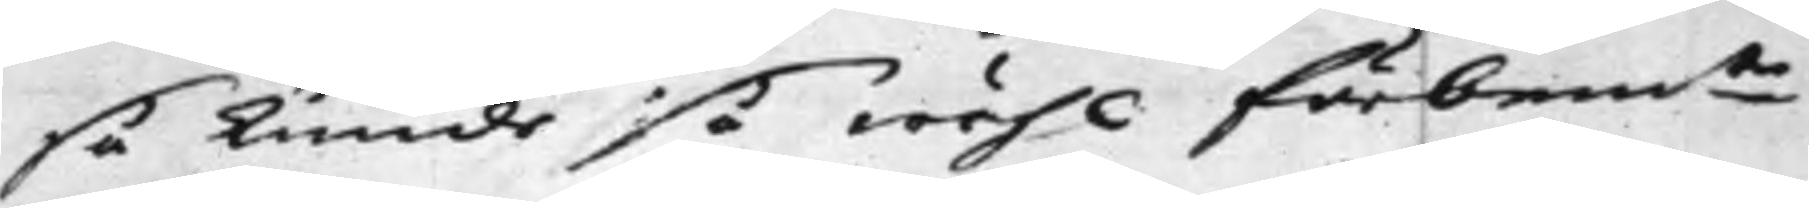så kunde så wähl förbem.te
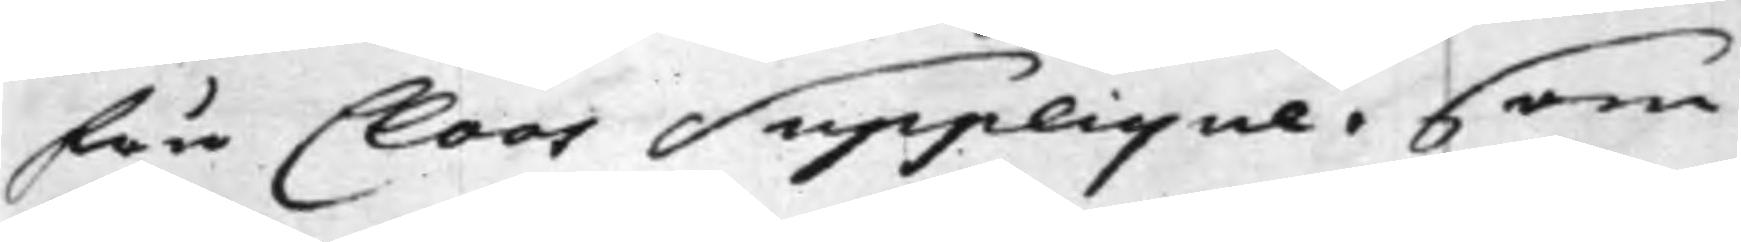Fru Cloos Supplique, som
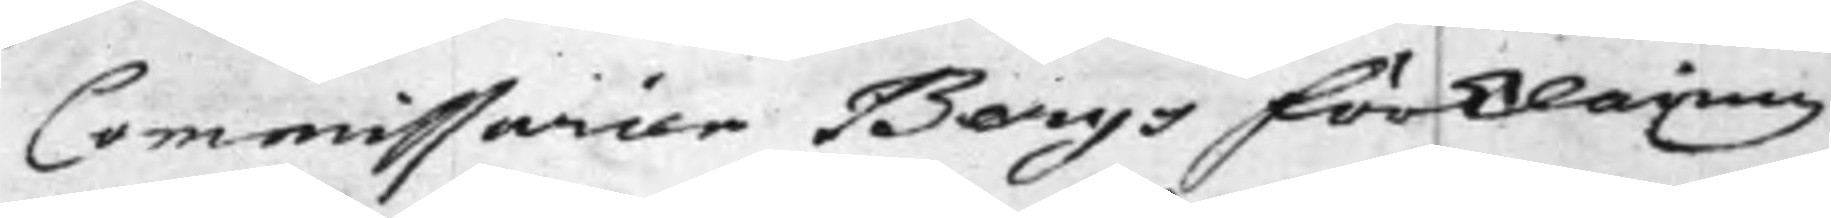Commissarien Bergs Förklaring
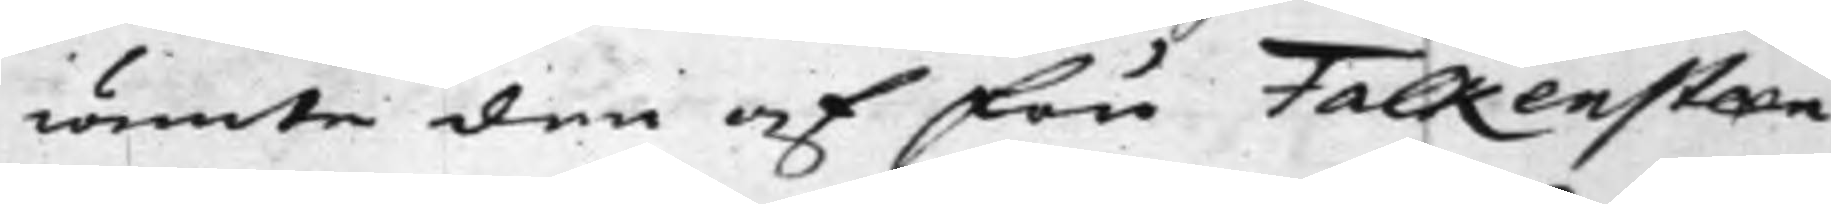iämte den af Fru Falkensteen
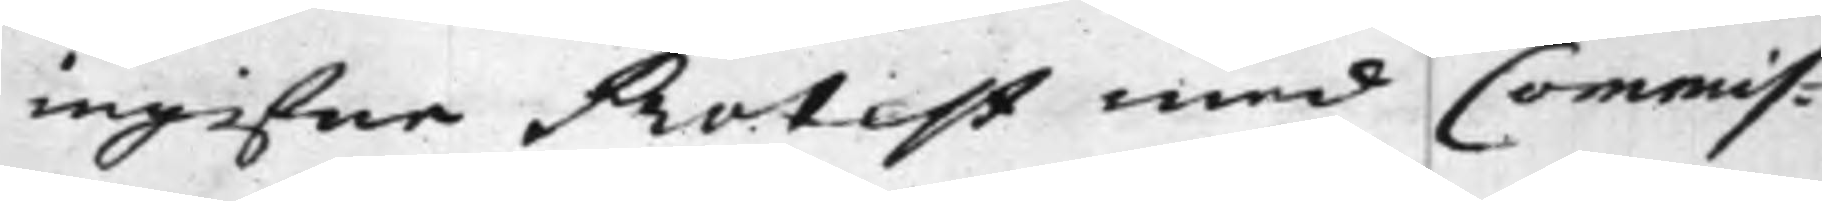ingifne Protest med Commis¬
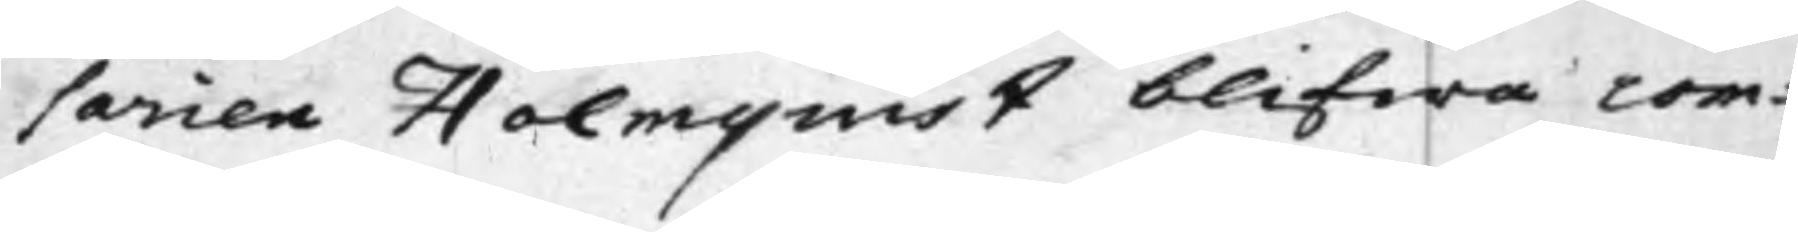sarien Holmquist blifwa com¬
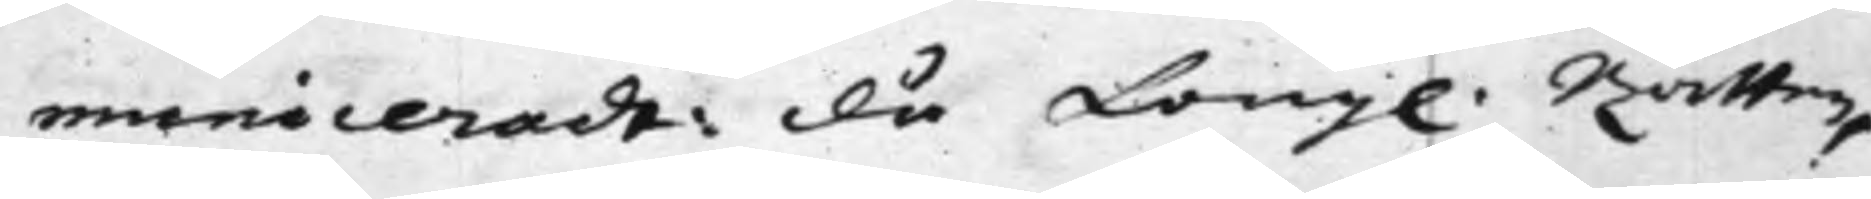municerade: Då Kong. Rätten,
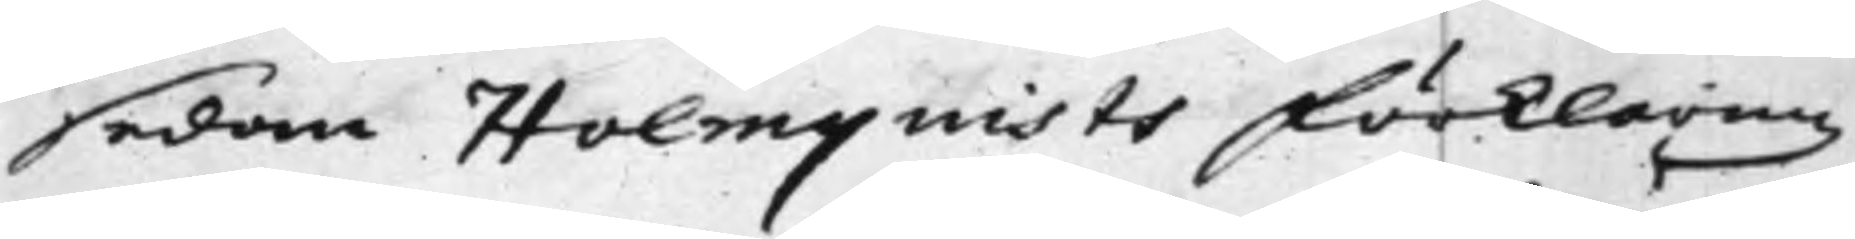sedan Holmquists Förklaring
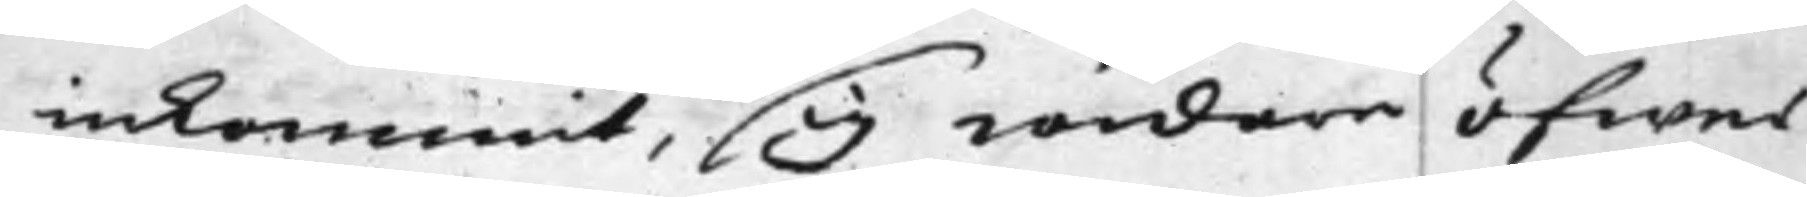inkommit, sig widare öfwer
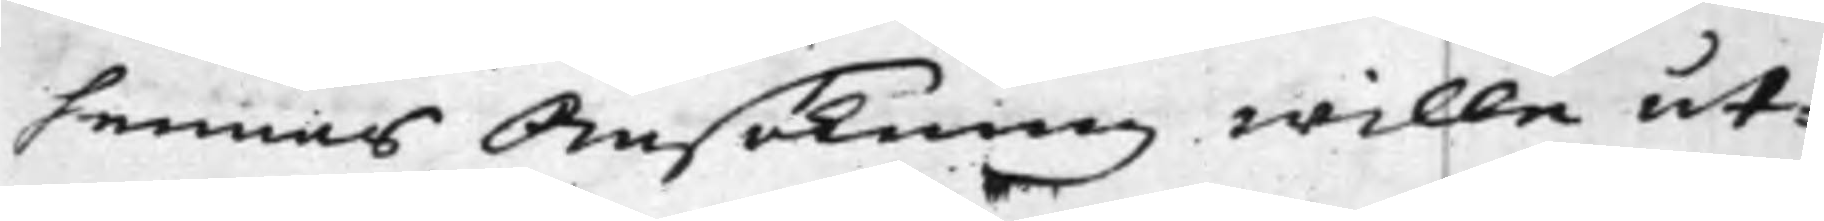hennes Ansökning wille ut¬
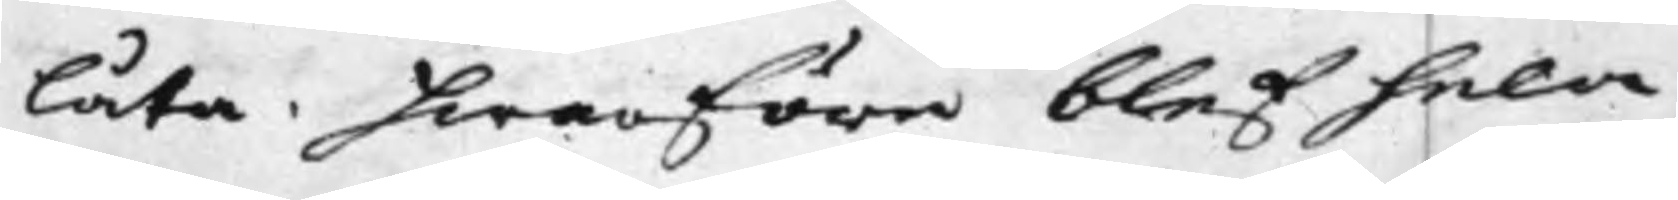låta. hwarföre blef hela
